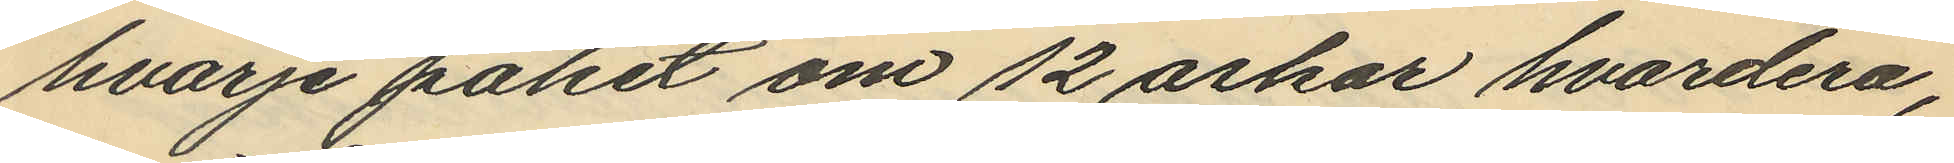hvarje paket om 12 askar hvardera,
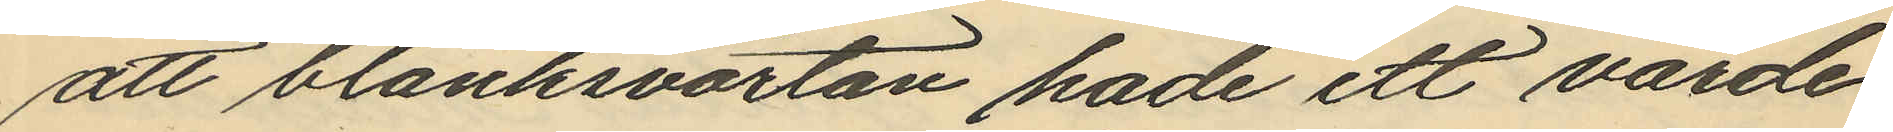att blanksvärtan hade ett värde
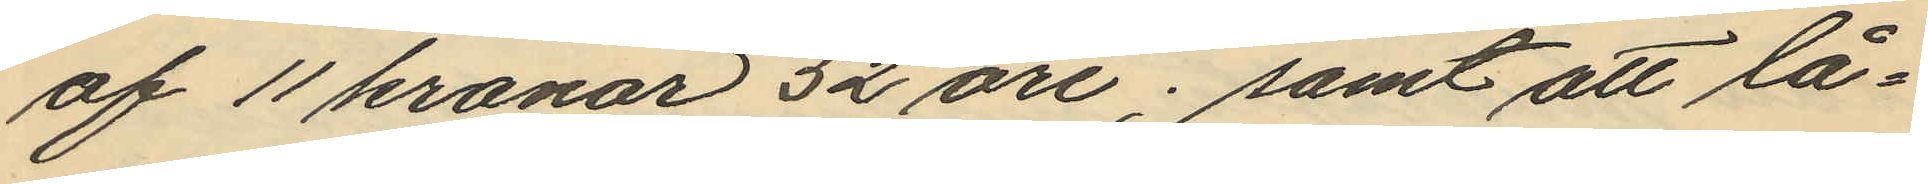af 11 kronor 52 öre; samt att lå¬
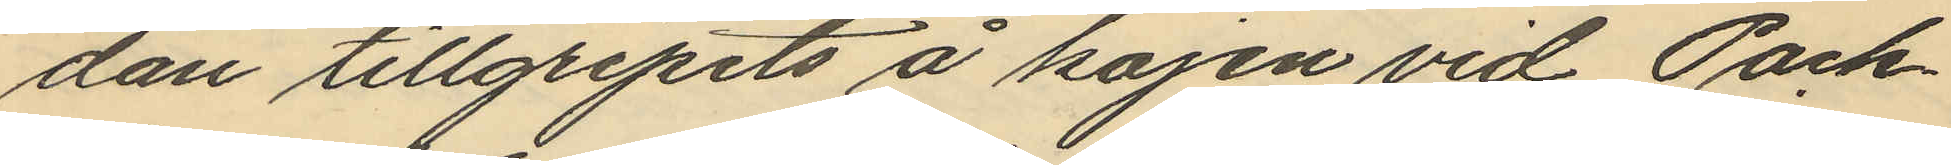dan tillgripits å kajen vid Pack¬
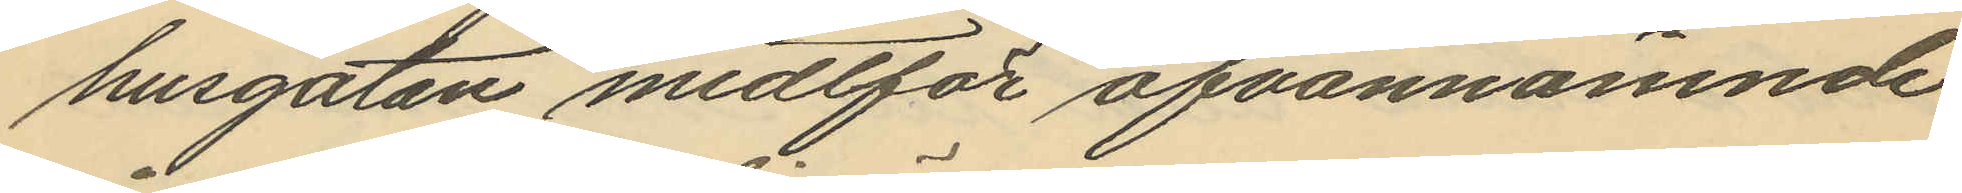husgatan midtför ofvannämnde
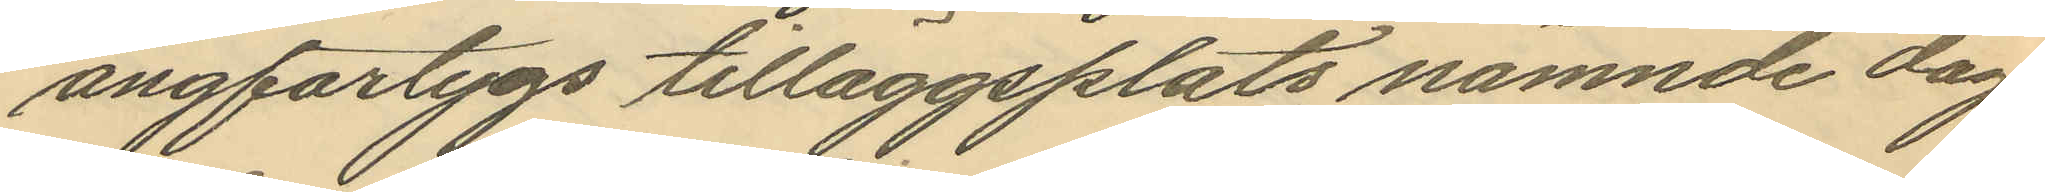ångfartygs tilläggsplats nämnde dag
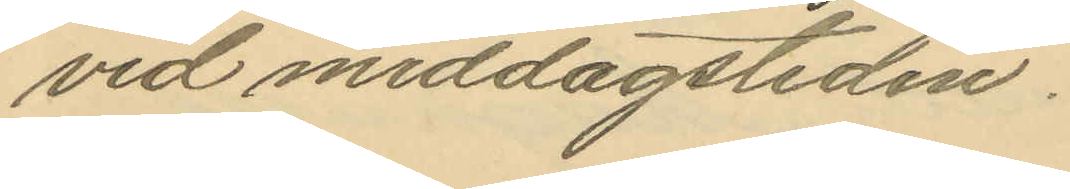vid middagstiden.
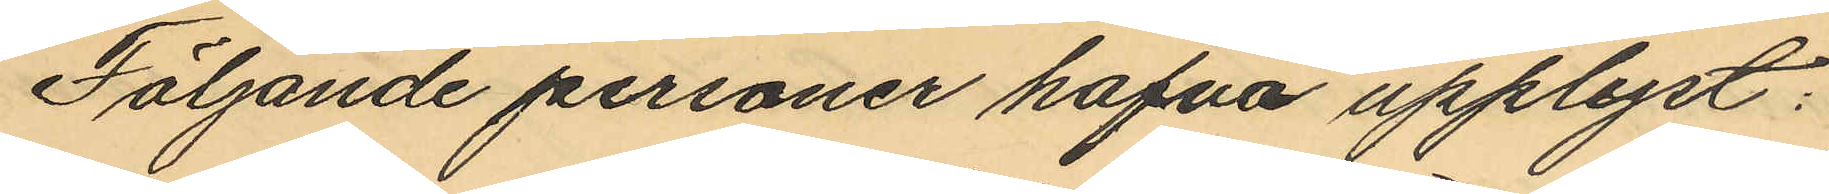Följande personer hafva upplyst:
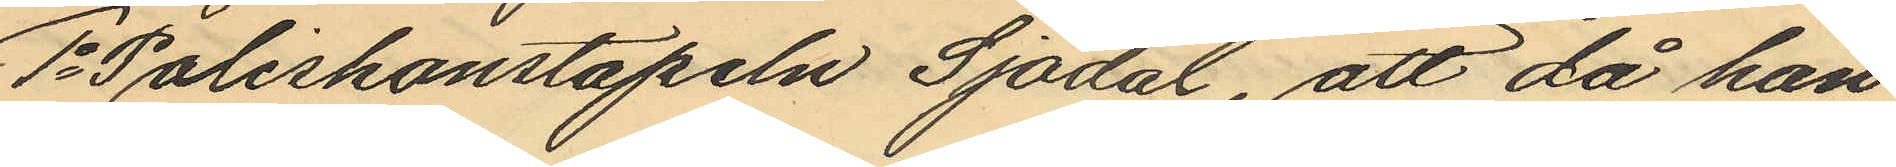1o Poliskonstapeln Sjödal, att då han
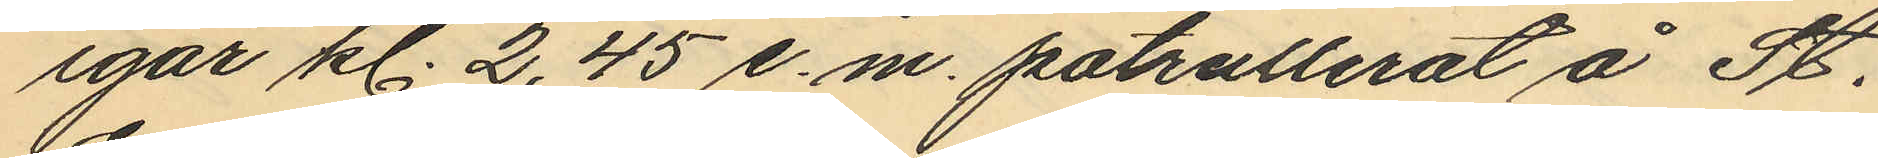igår kl. 2,45 e.m. patrullerat å St.
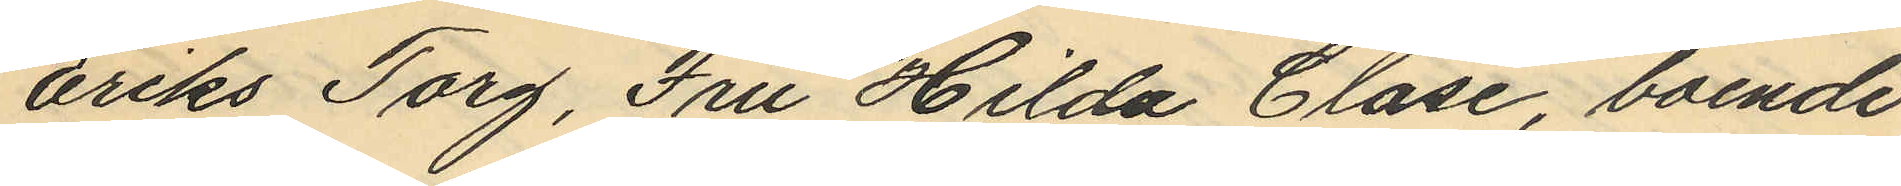Eriks Torg, Fru Hilda Clase, boende
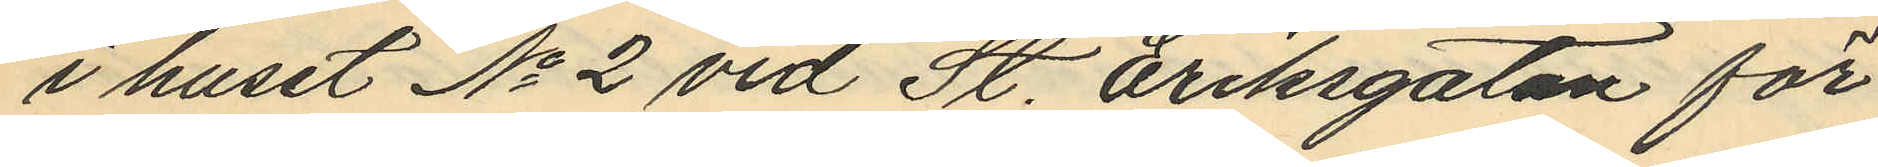i huset No 2 vid St. Eriksgatan för
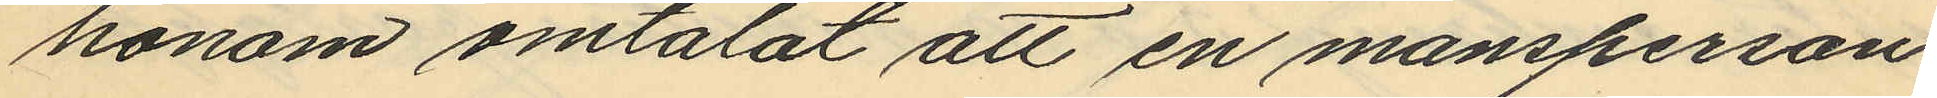honom omtalat att en mansperson
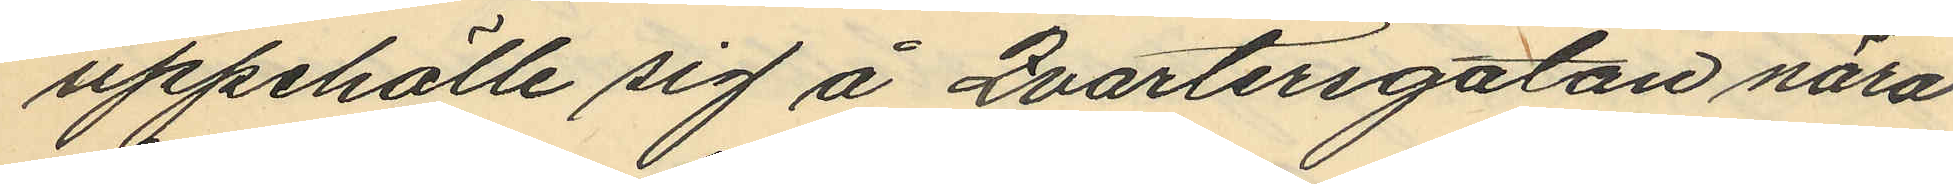uppehölle sig å Qvartersgatan nära
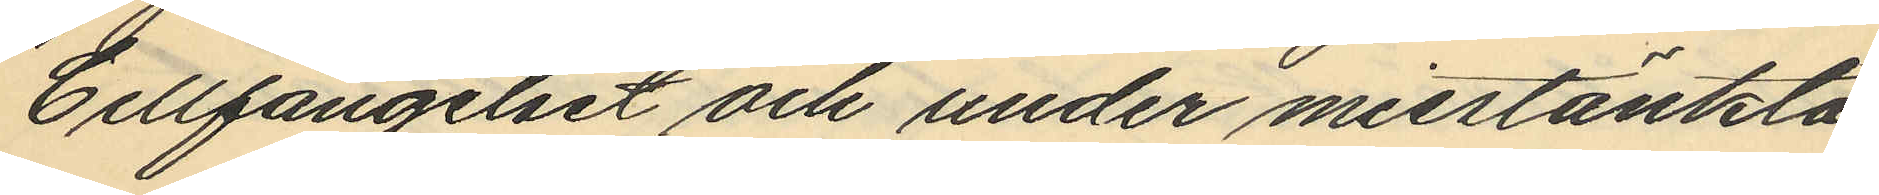Cellfängelset och under misstänkta
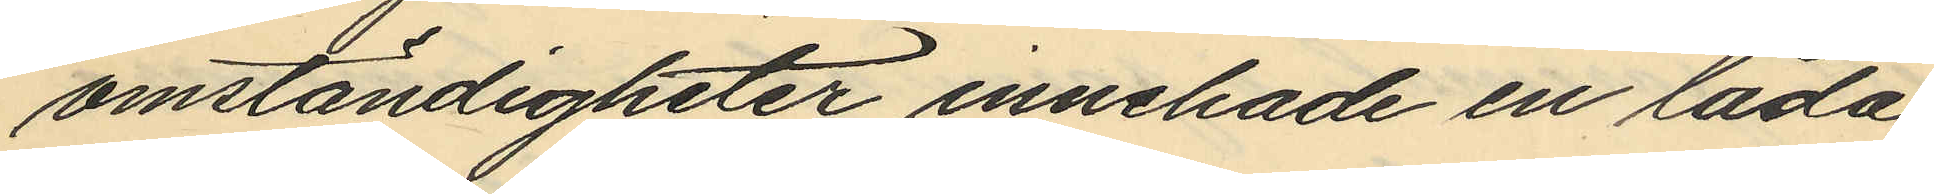omständigheter innehade en låda
